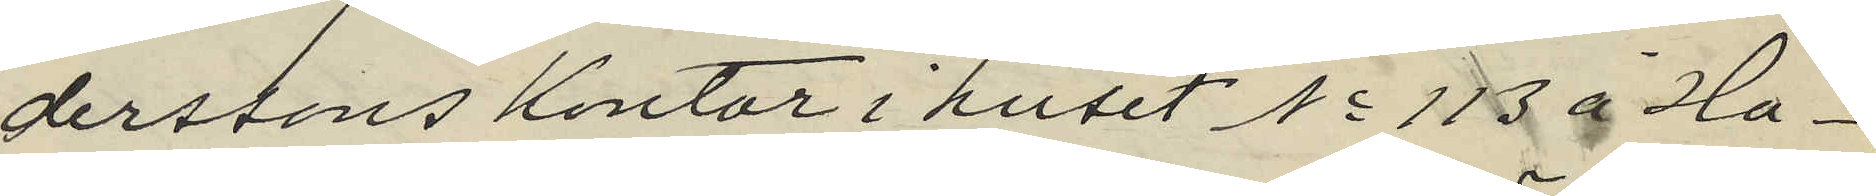derssons kontor i huset No 113 å Ha¬
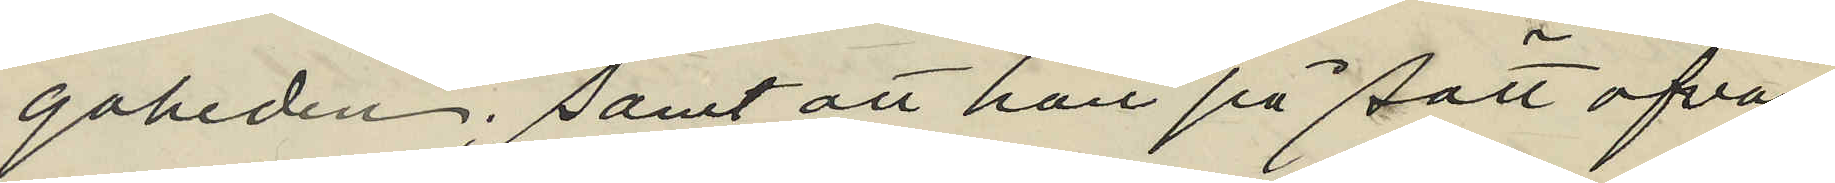gaheden; samt att han på sätt ofvan
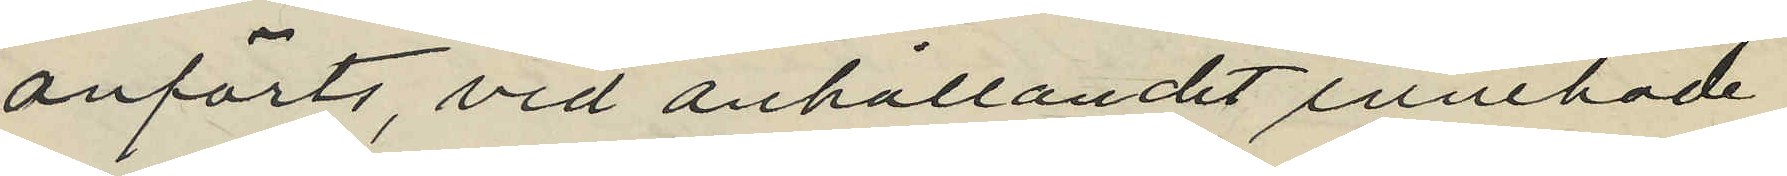anförts, vid anhållandet innehade
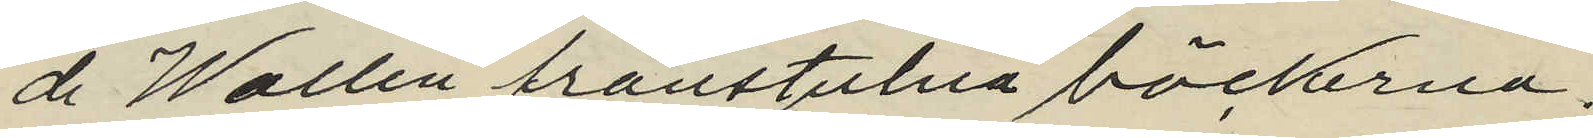de Wallin frånstulna böckerna.
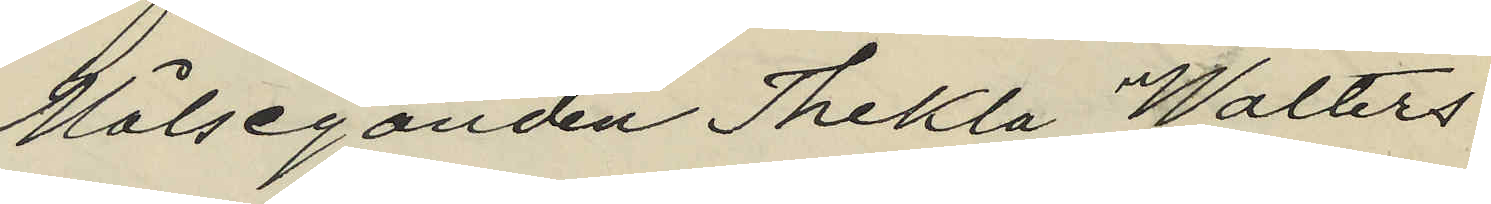Målseganden Thekla Walters
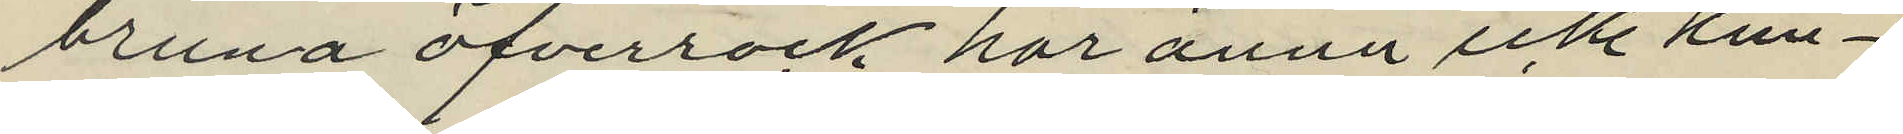bruna öfverrock har ännu ickke kun¬
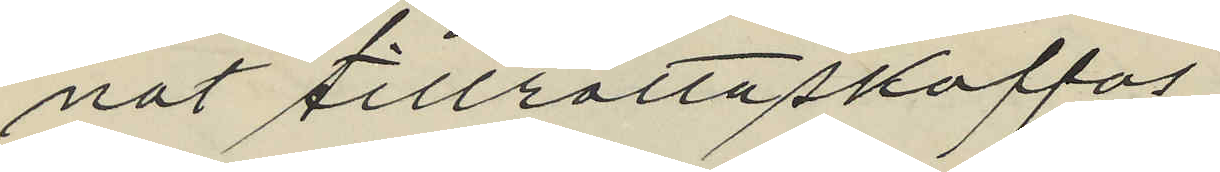nat tillrättaskaffas.
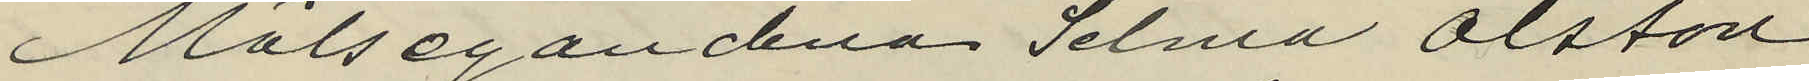Målsegandena Selma Olsson
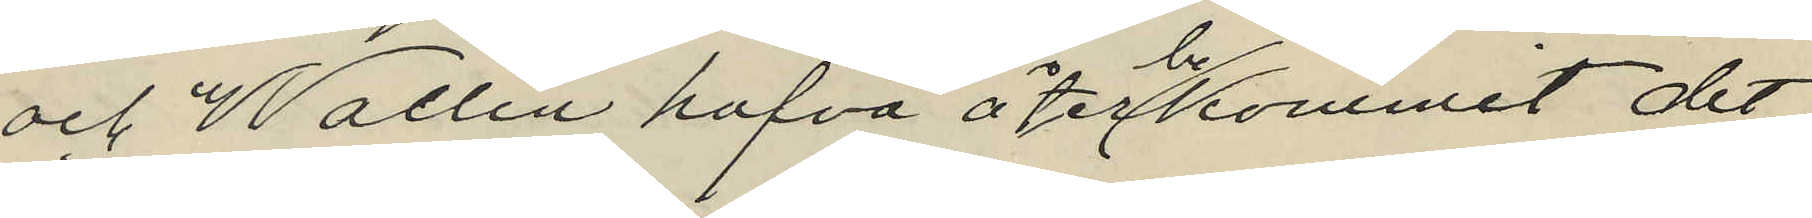och Wallin hafva återbekommit det
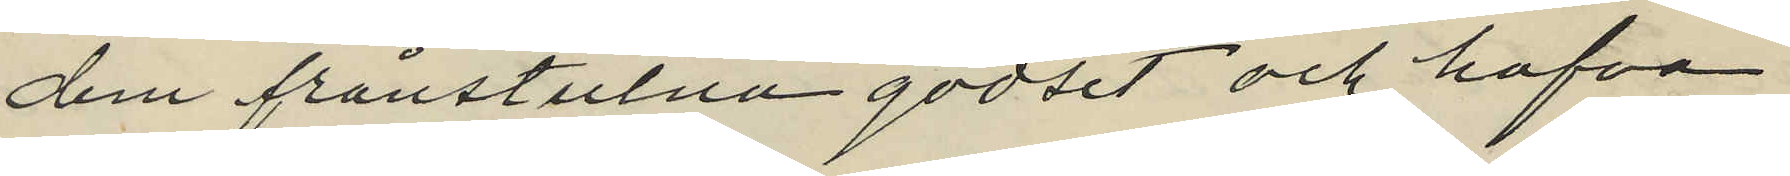dem frånstulna godset och hafva
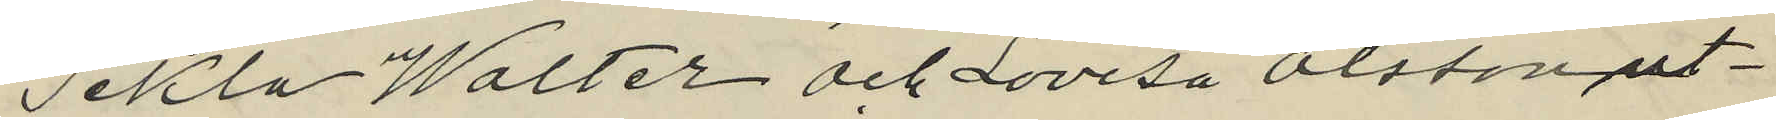Tekla Walter och Lovisa Olsson ut¬
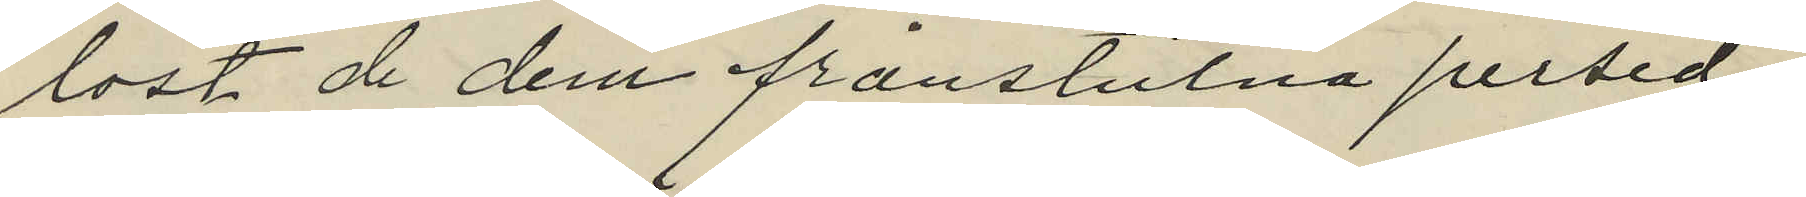löst de dem frånstulna persed¬
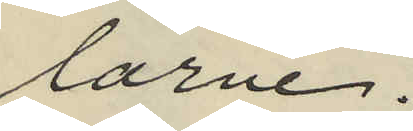larne.
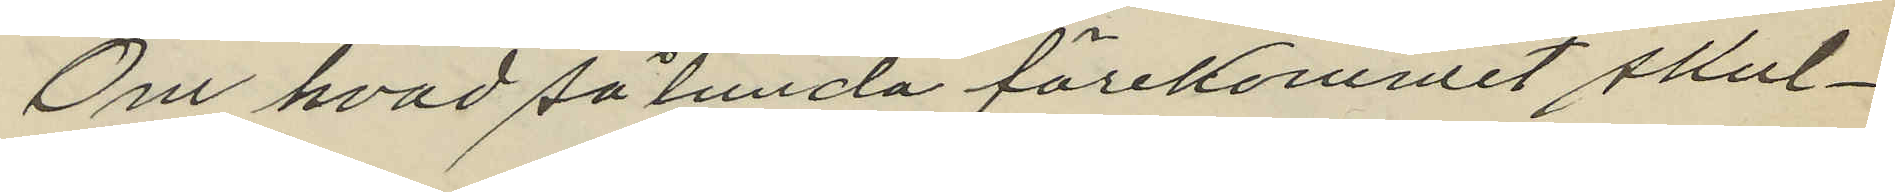Om hvad sålunda förekommit skul¬
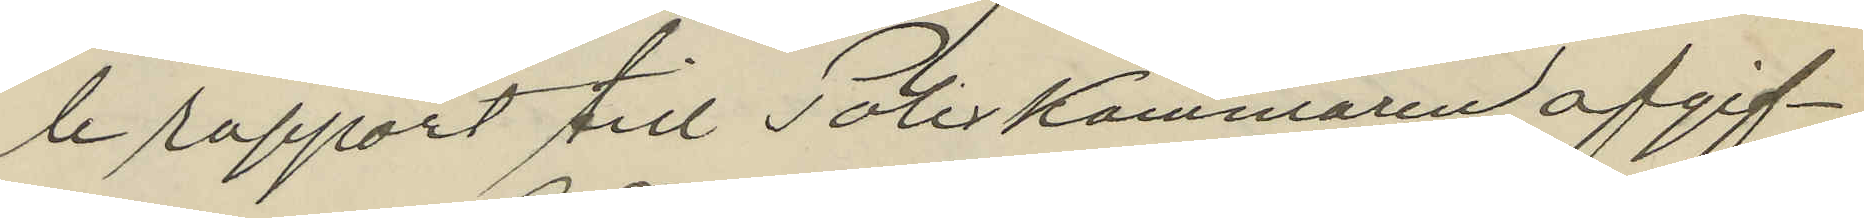le rapport till Poliskammaren afgif¬
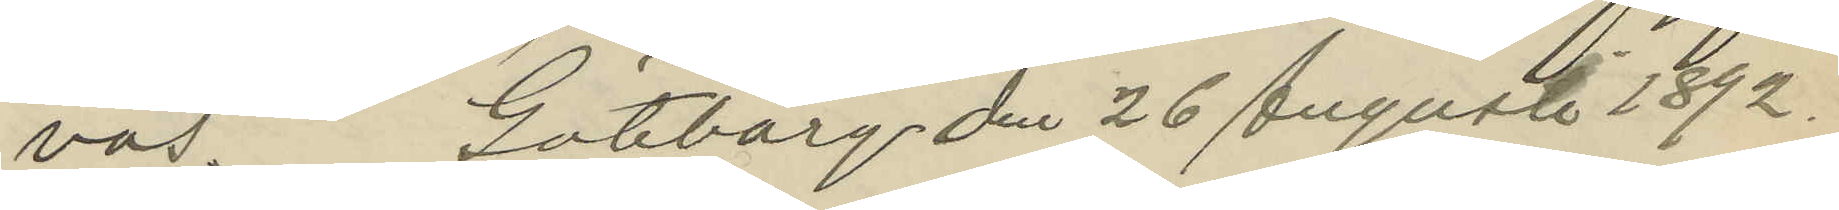vas. Göteborg den 26 Augusti 1892.
